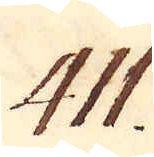411.
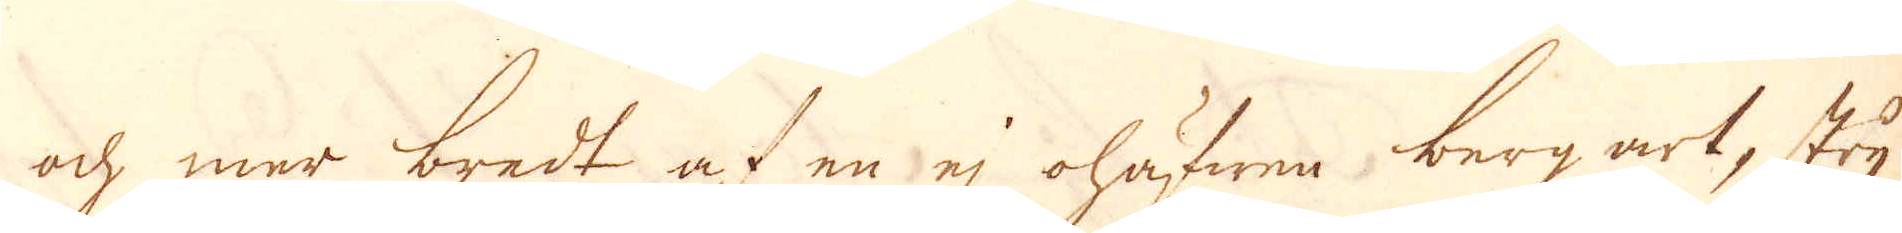och mer bredt af en ej ohäfwen bergart, stry-
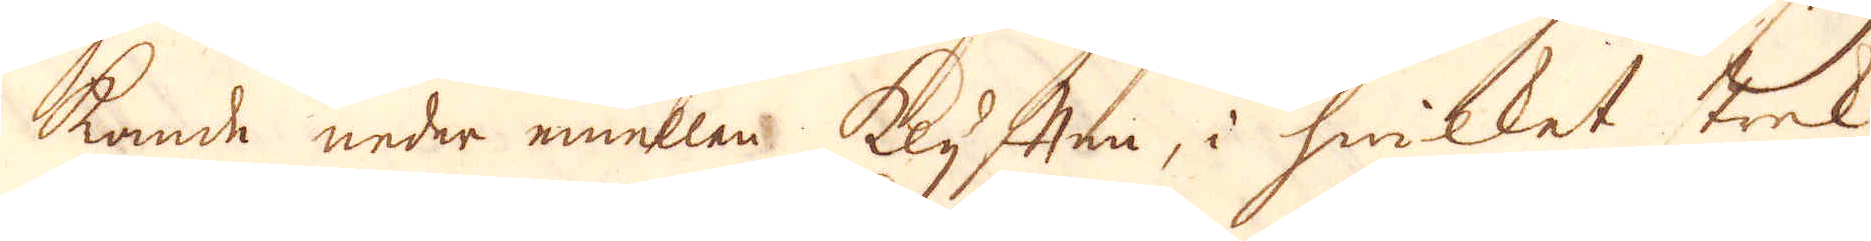kande neder emellan klyften, i hwilket strek
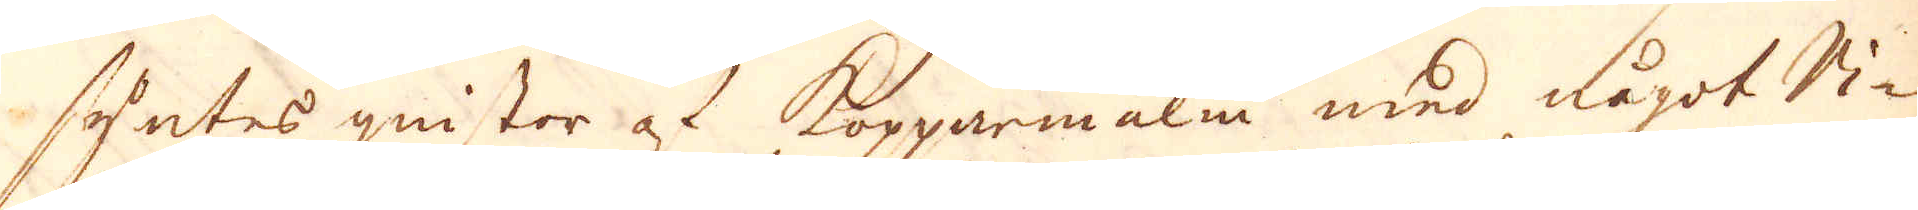syntes gnistor at Kopparmalm med något Vi-
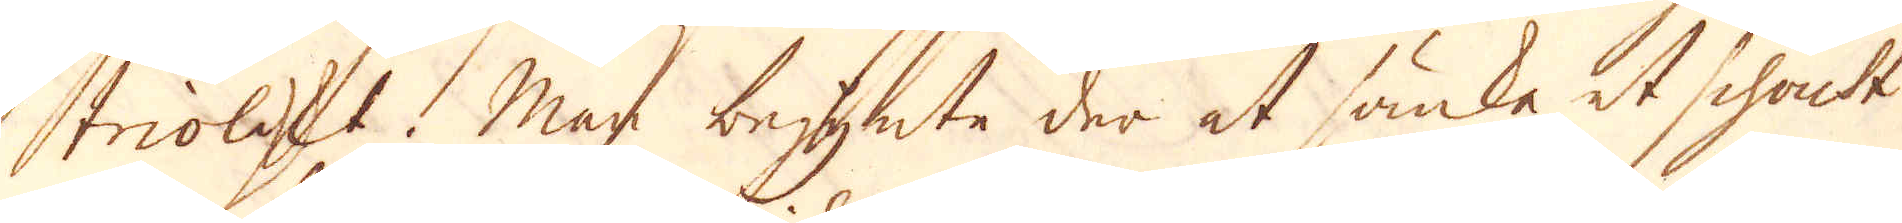triolskt. Man begynte der at sänka et schakt
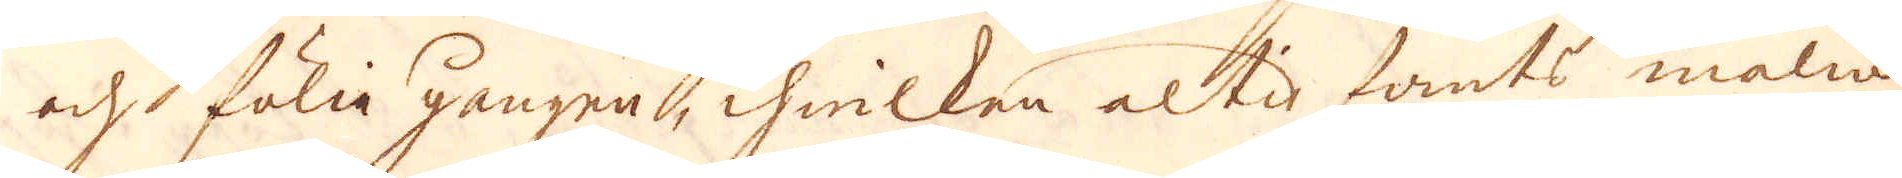och fölia gången, ihwilken altid fants malm
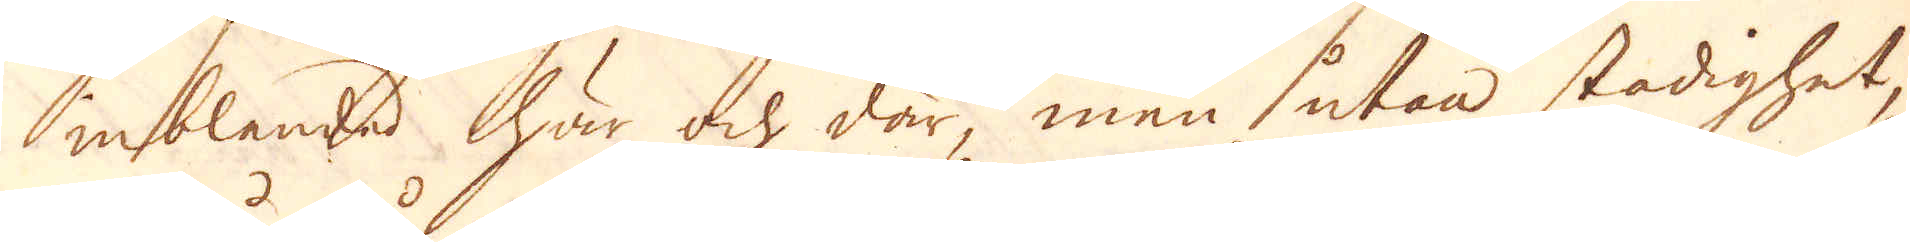inblandad här och där, men utan stadighet,
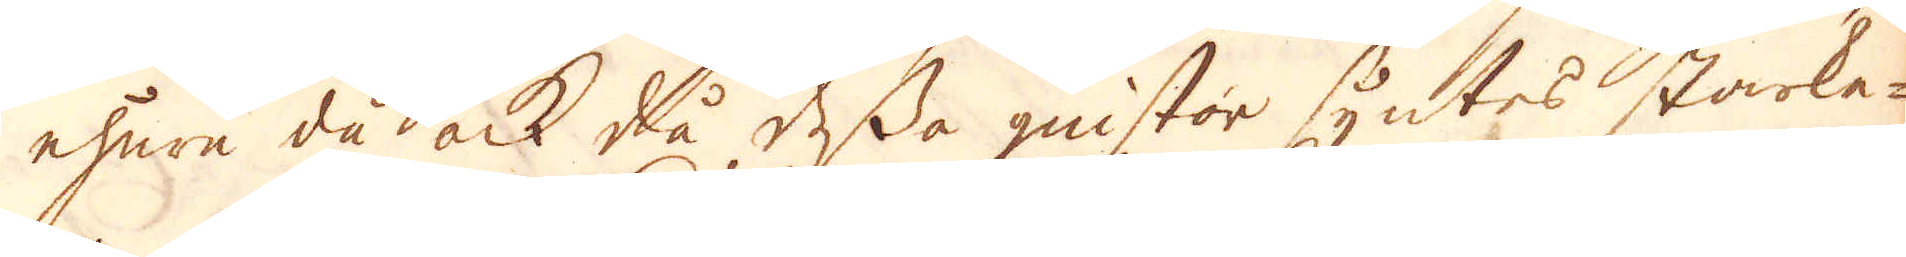ehura då ock då dessa gnistor syntes starka-
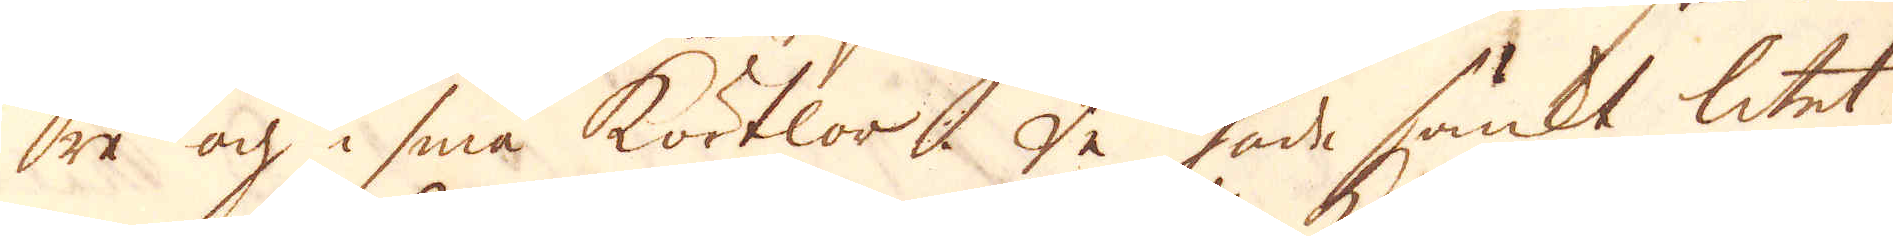re och i små körtlor. De hade sänkt litet
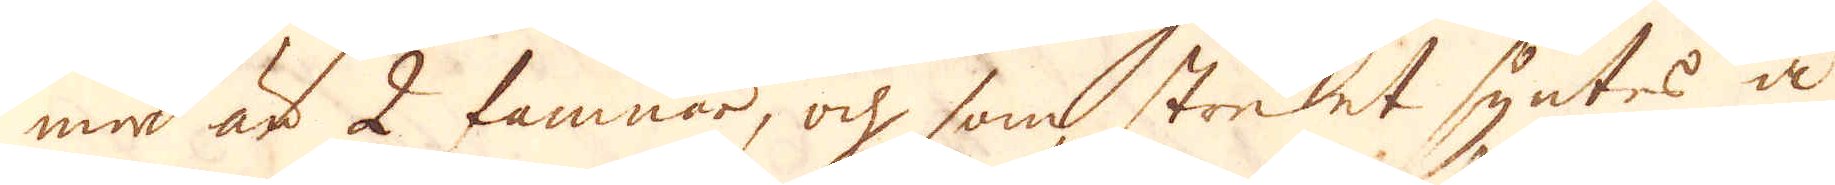mer är 2 famnar, och som strecket syntes å
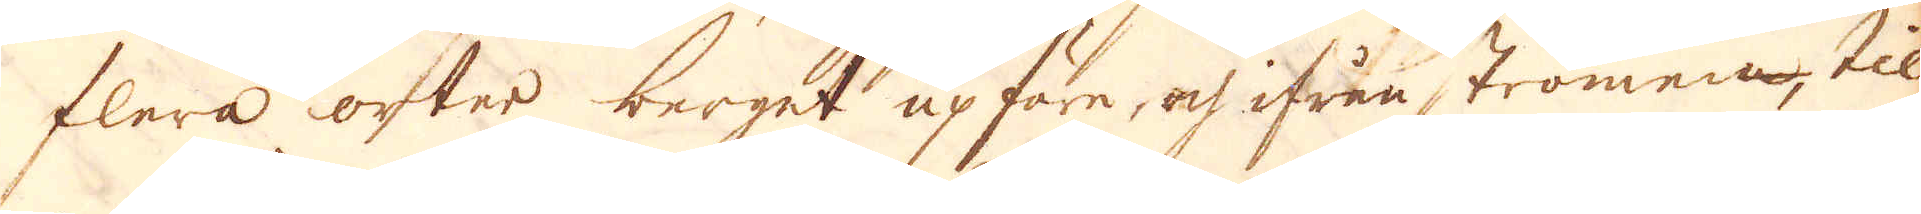flera orter berget upföre, och ifrån strömen, til
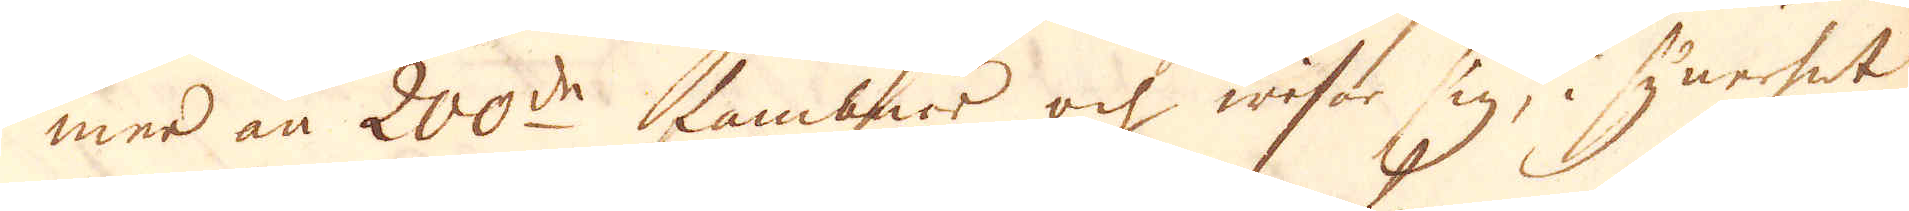mer än 200de famnar och wisar sig, i synehet
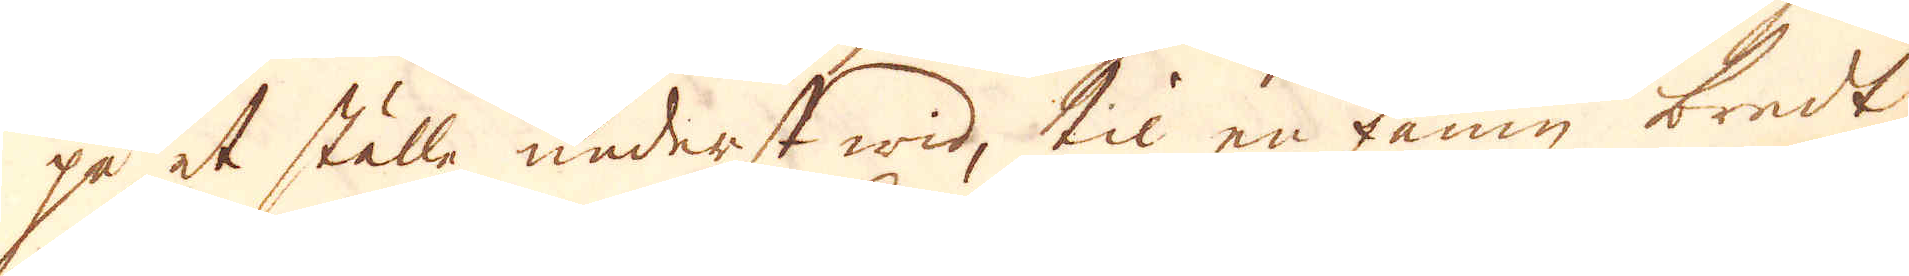på et ställe nederst wid, til en famn bredt
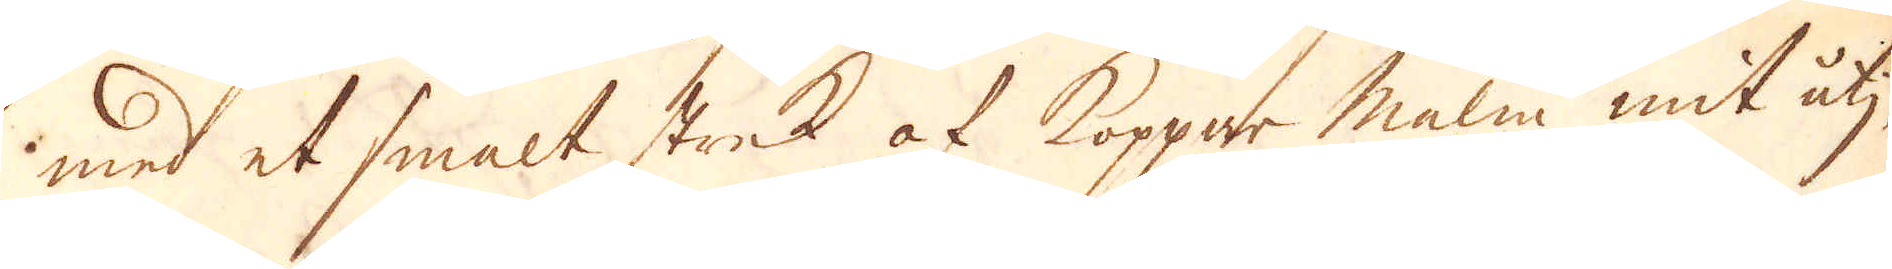med et smalt strek af Koppar malm mit utij,
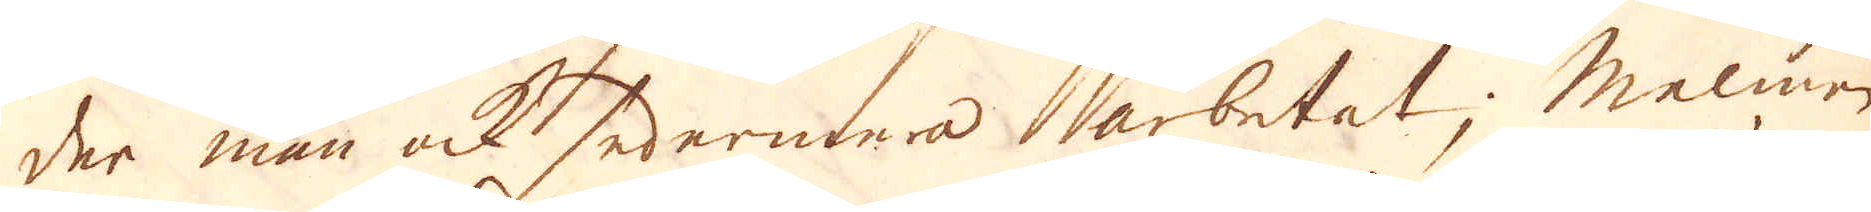der man ock sedermera arbetat; Malmen
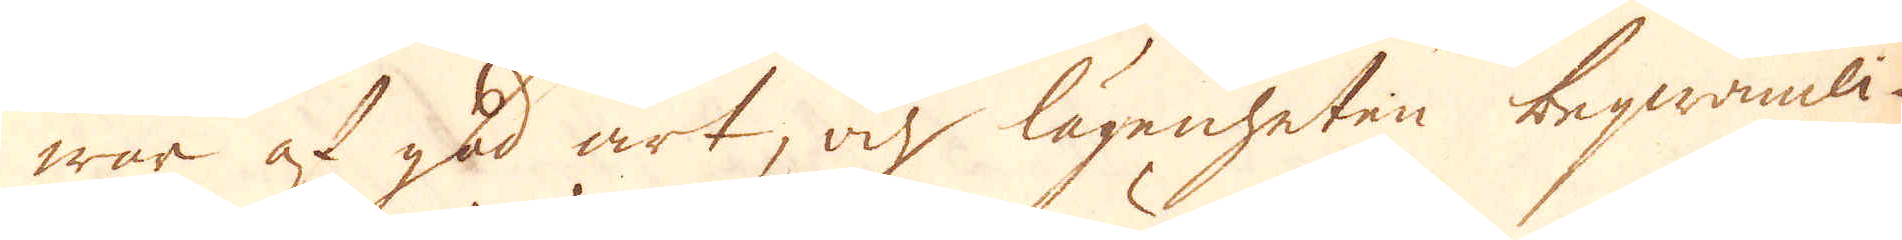war af god art, och lägenheten beqwämli-
